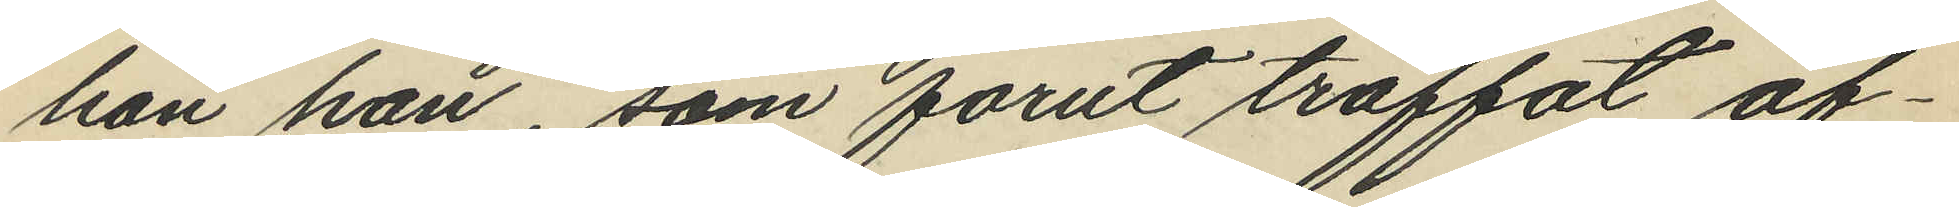han han, som förut träffat af¬
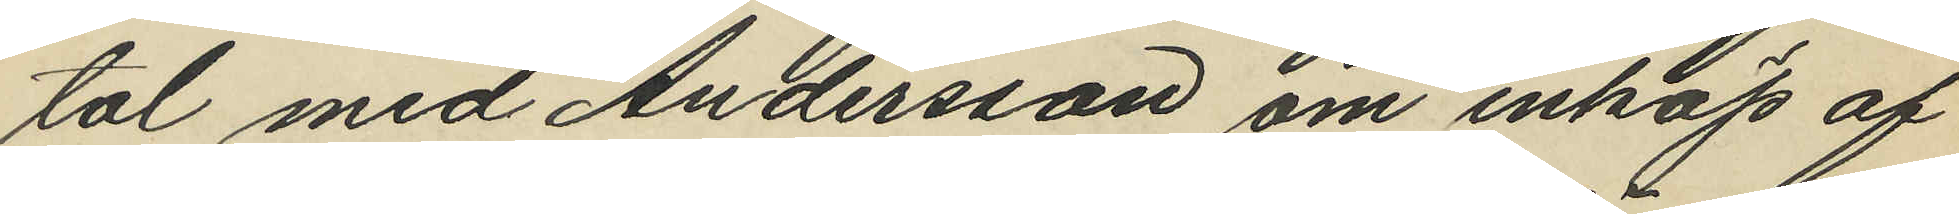tal med Andersson om inköp af
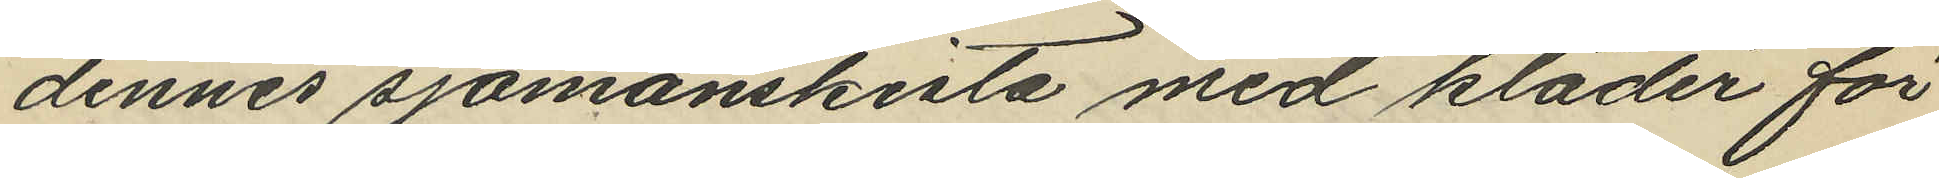dennes sjömanskista med kläder för
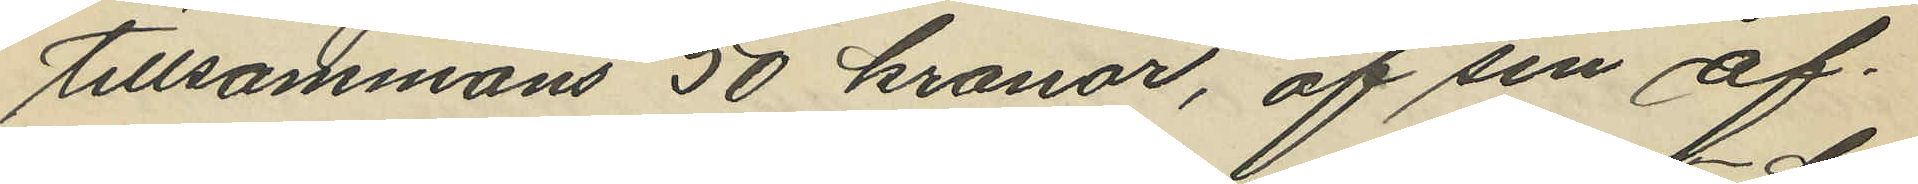tillsammans 50 kronor, af sin af¬
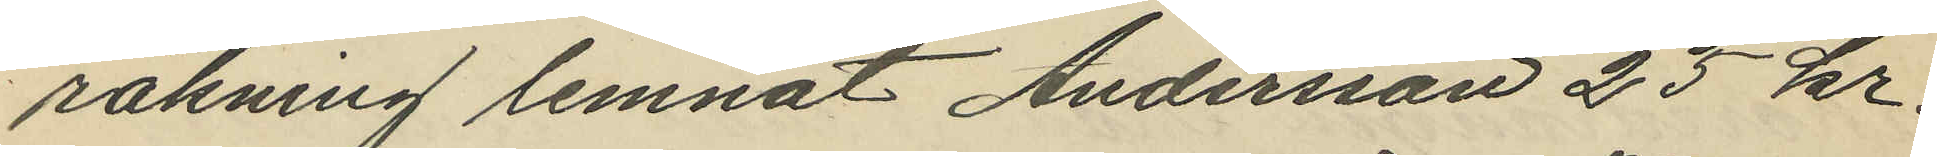räkning lemnat Andersson 25 kr.
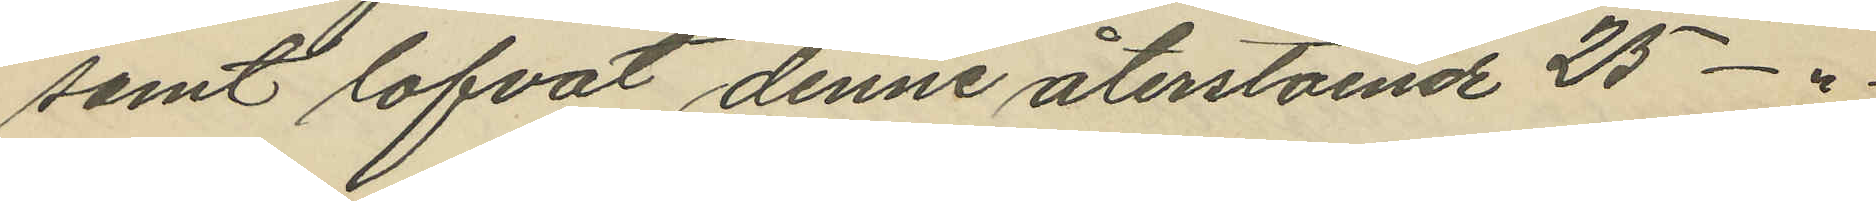samt lofvat denne återstående 25 -"-
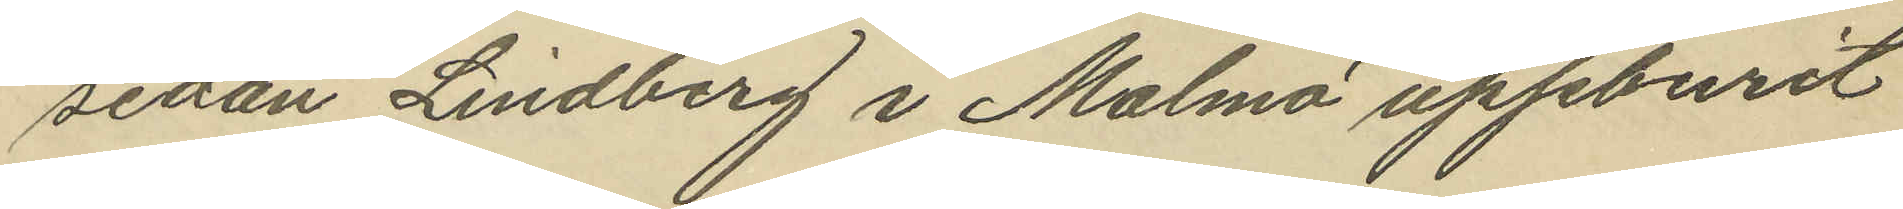sedan Lindberg i Malmö uppburit
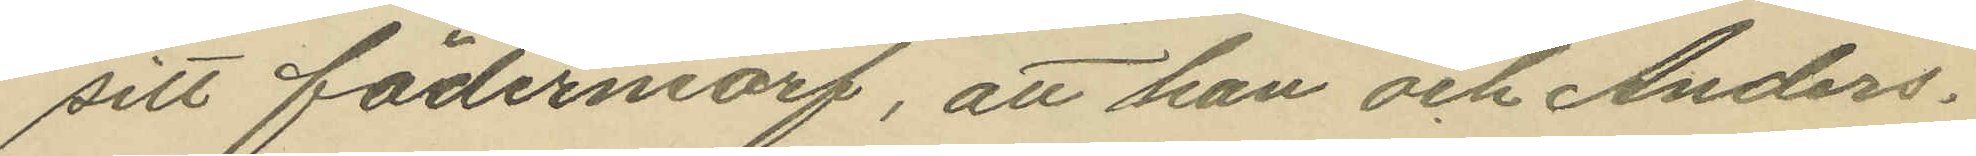sitt fädernearf, att han och Anders¬
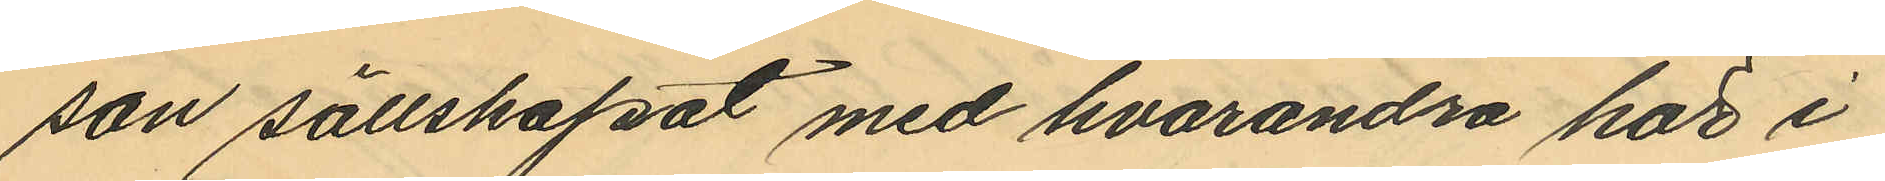son sällskapat med hvarandra här i
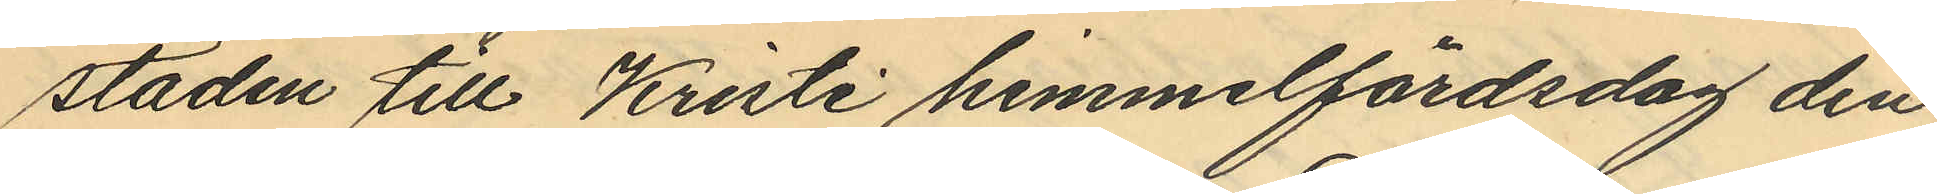staden till Kristi himmelfärdsdag den
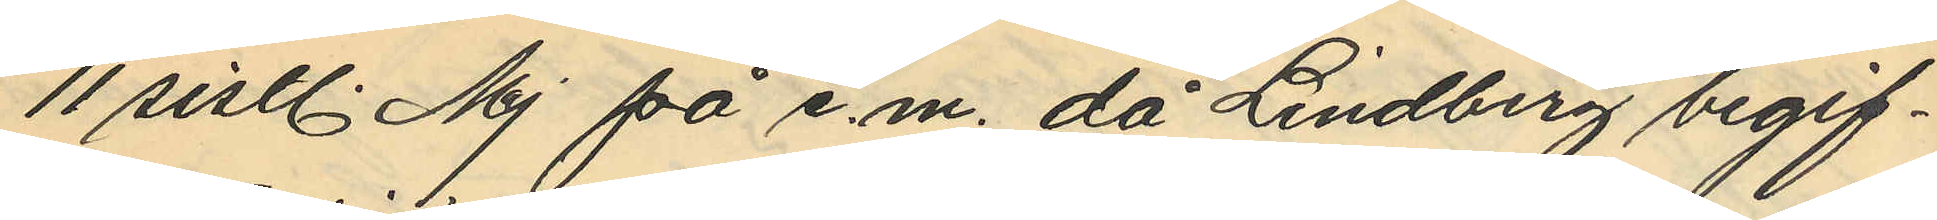11 sistl. Maj på e.m. då Lindberg begif¬
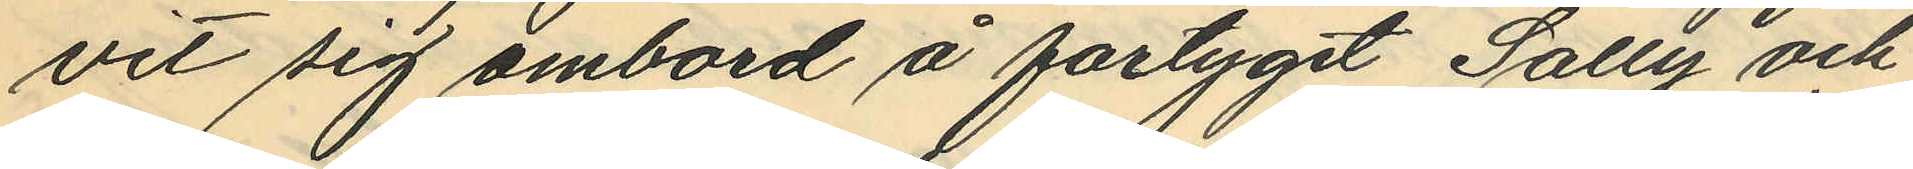vit sig ombord å fartyget Sally och
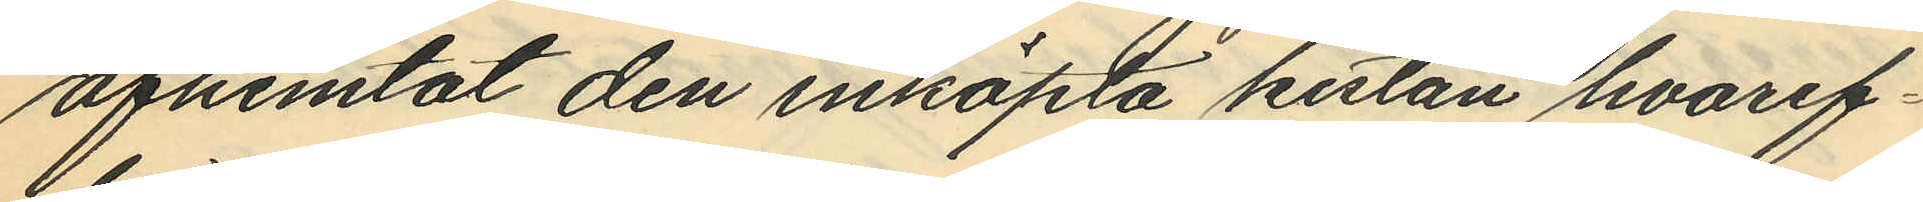afhemtat den inköpta kistan hvaref¬
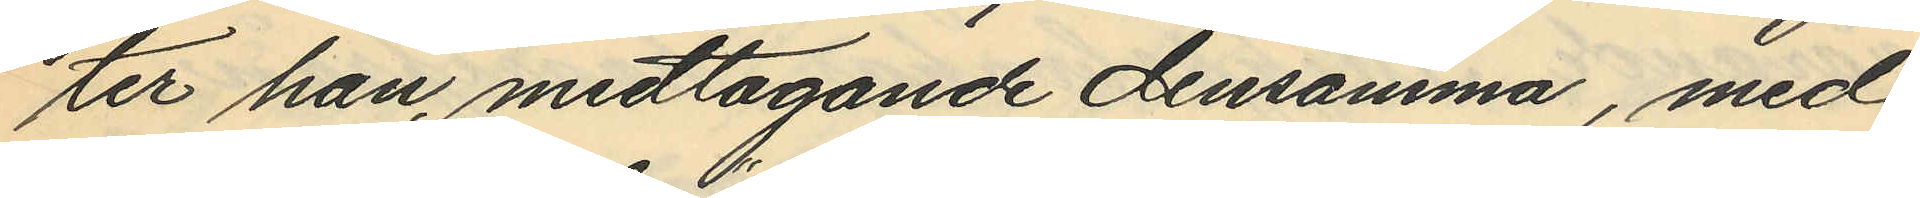ter han, medtagande densamma, med
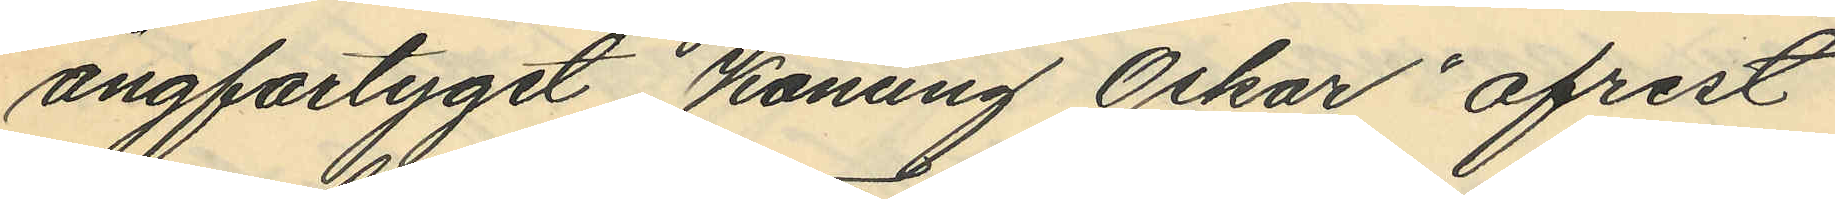ångfartyget "Konung Oskar" afrest
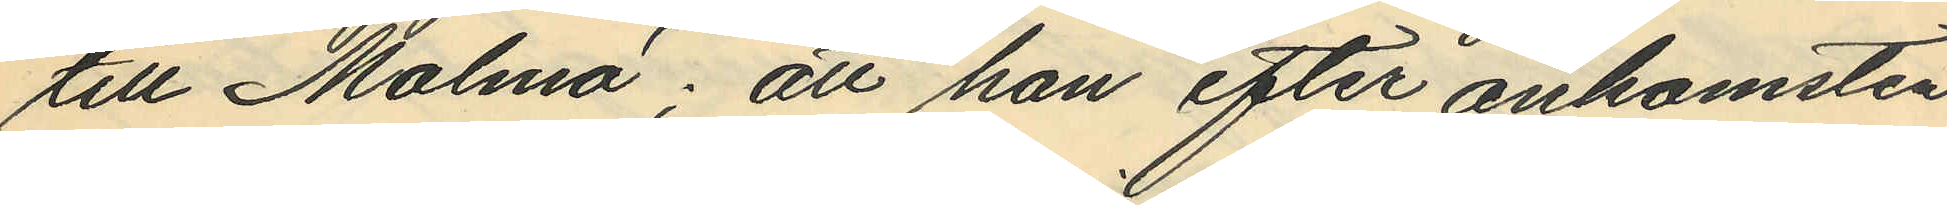till Malmö; att han efter ankomsten
